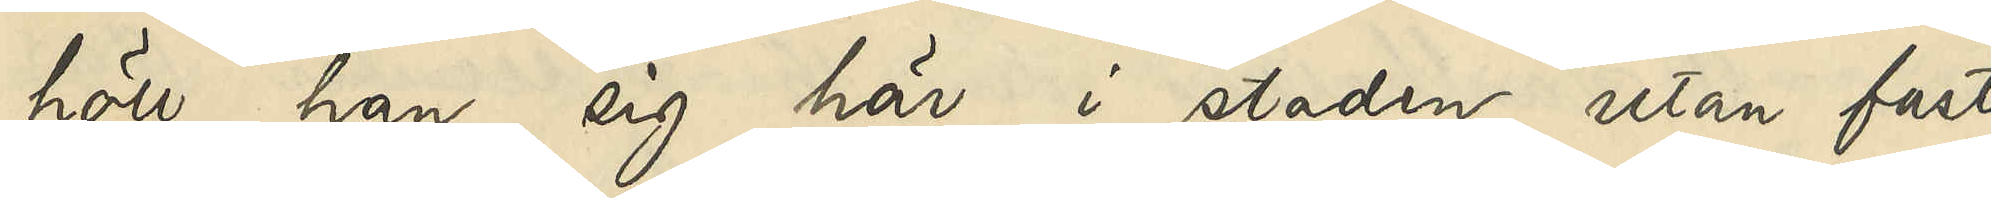höll han sig här i staden utan fast
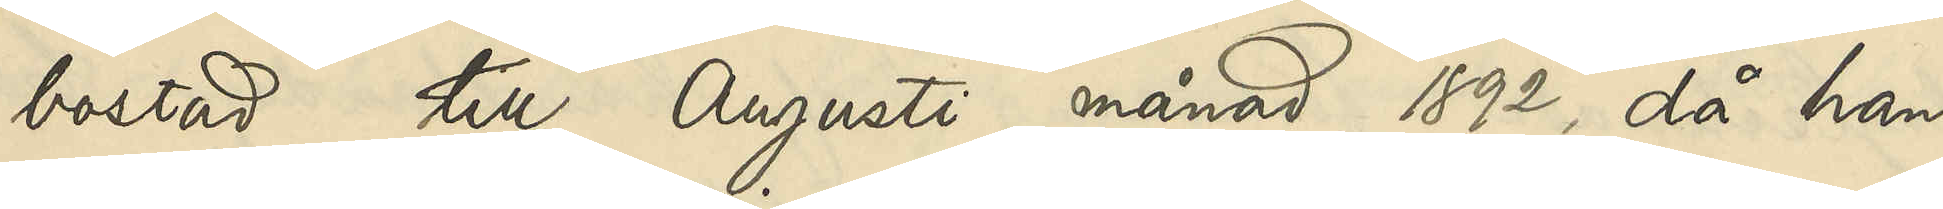bostad till Augusti månad 1892, då han
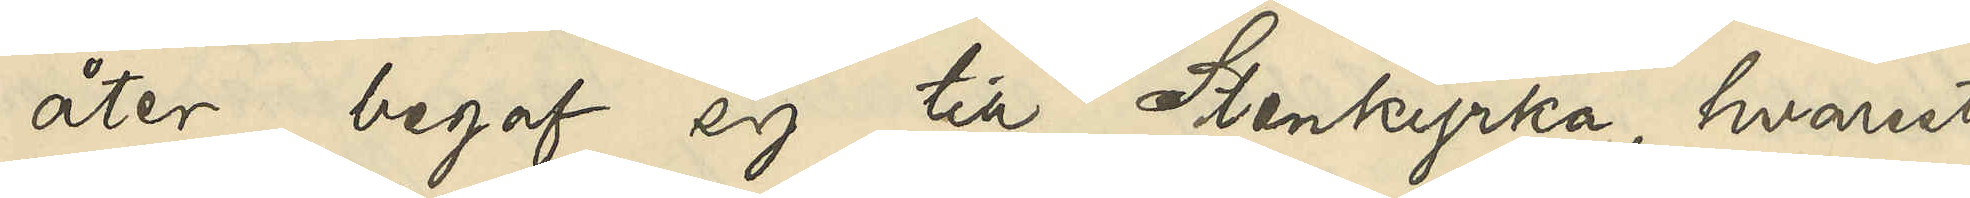åter begaf sig till Stenkyrka, hvarest
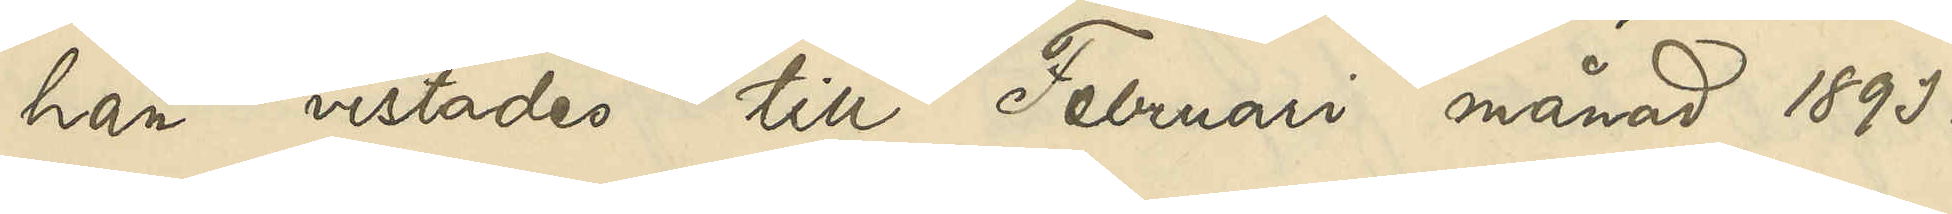han vistades till Februari månad 1893.
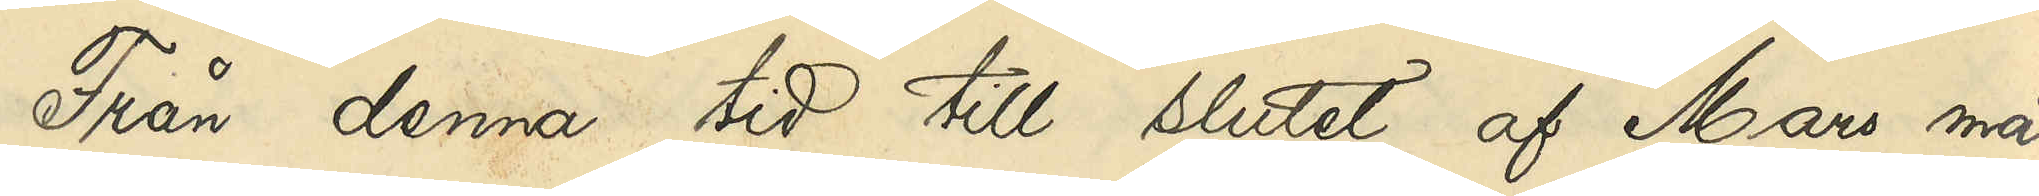Från denna tid till slutet af Mars må¬
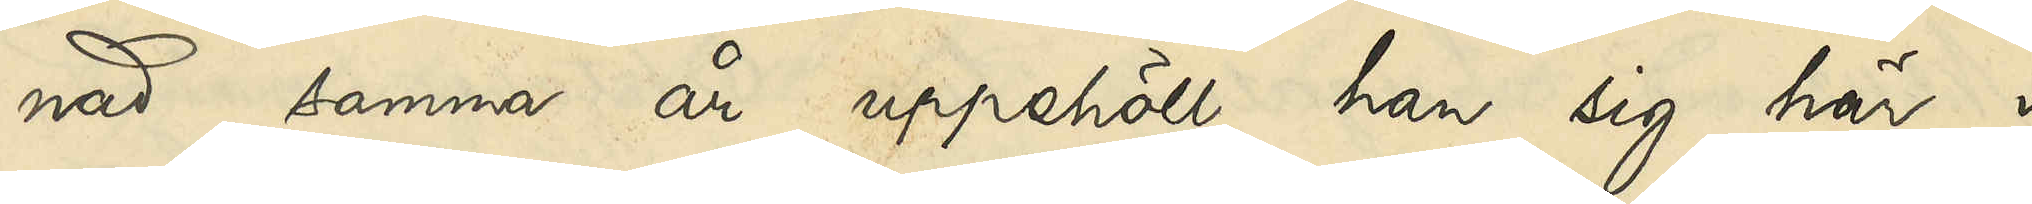nad samma år uppehöll han sig här i
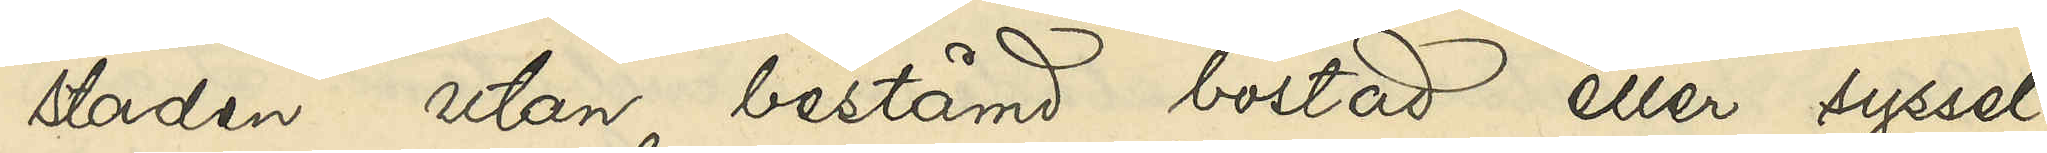staden utan bestämd bostad eller syssel¬
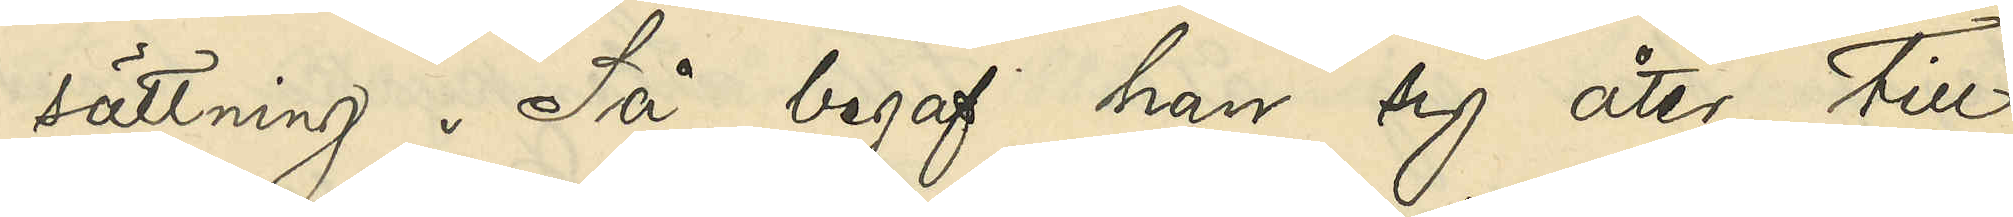sättning. Så begaf han sig åter till
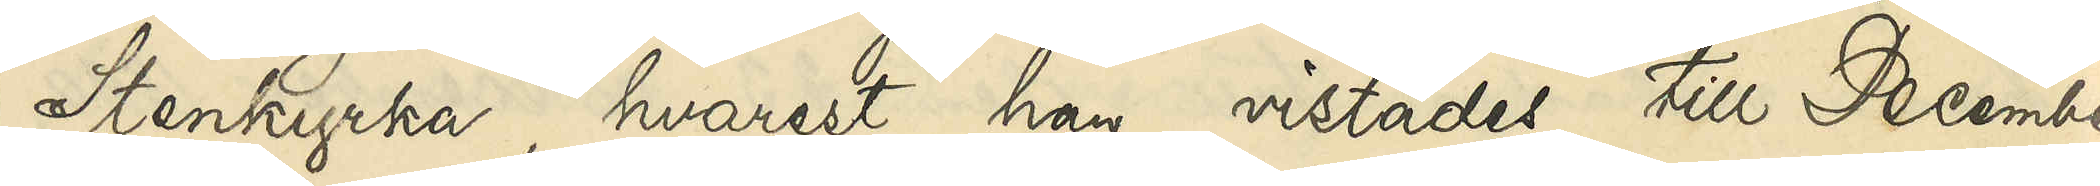Stenkyrka, hvarest han vistades till December
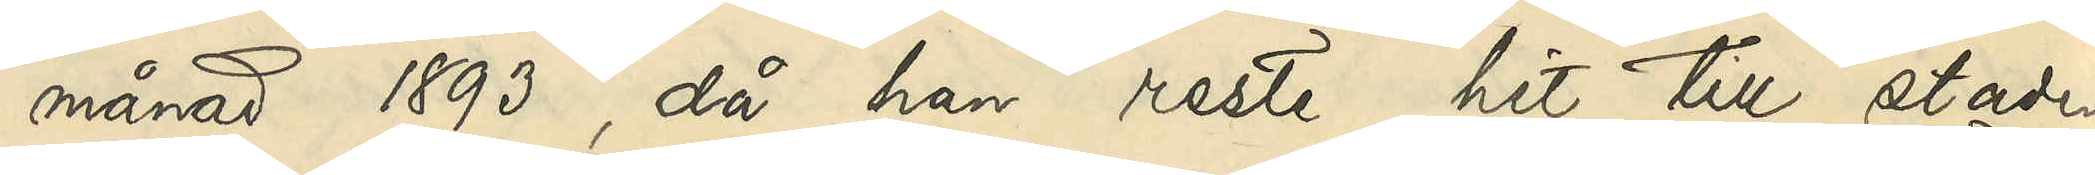månad 1893, då han reste hit till staden
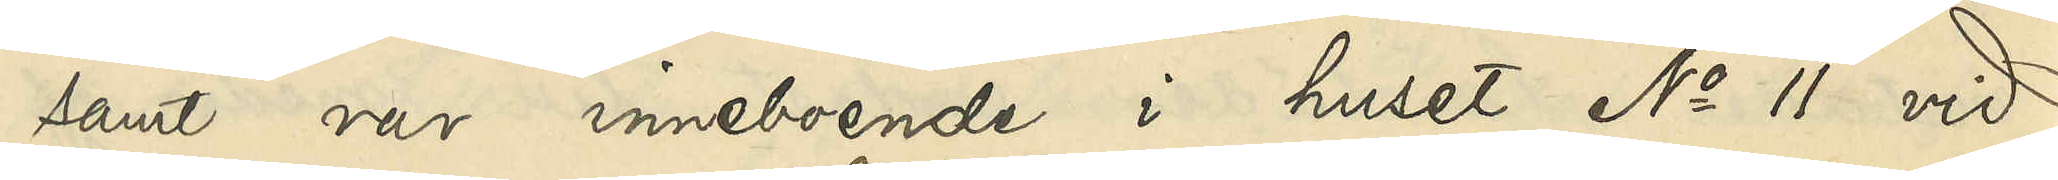samt var inneboende i huset No 11 vid
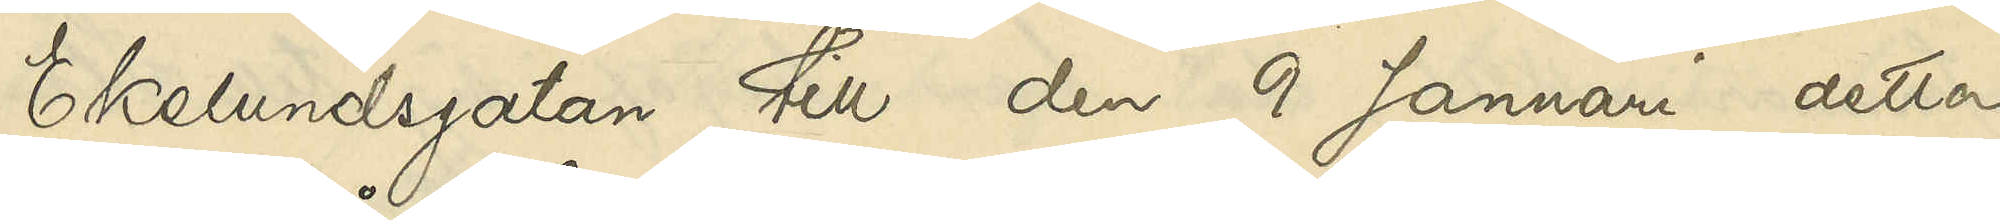Ekelundsgatan till den 9 Januari detta 
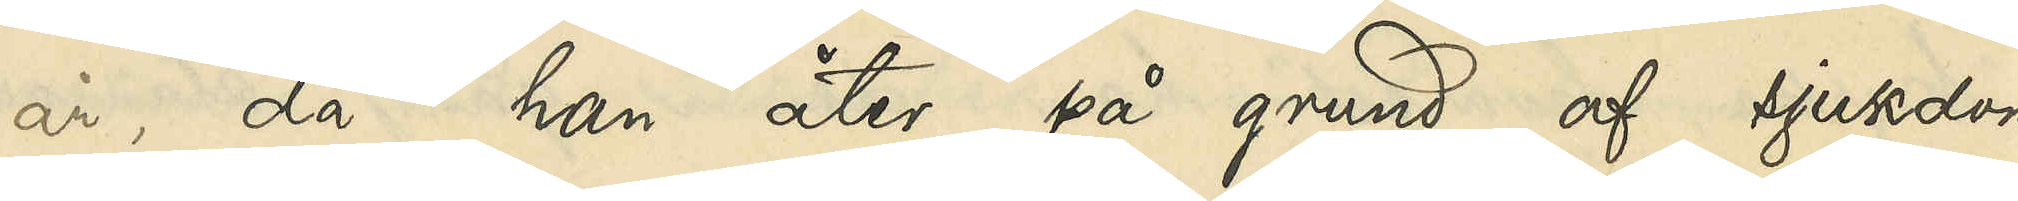år, då han åter på grund af sjukdom
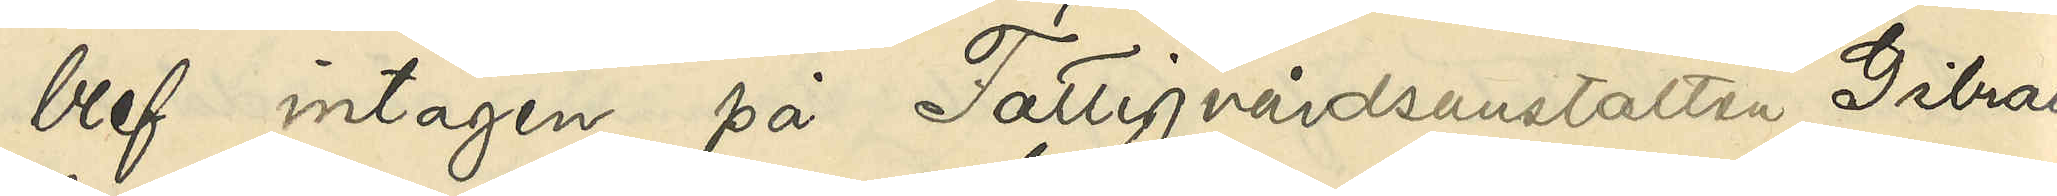blef intagen på Fattigvårdsanstalten Gibral¬
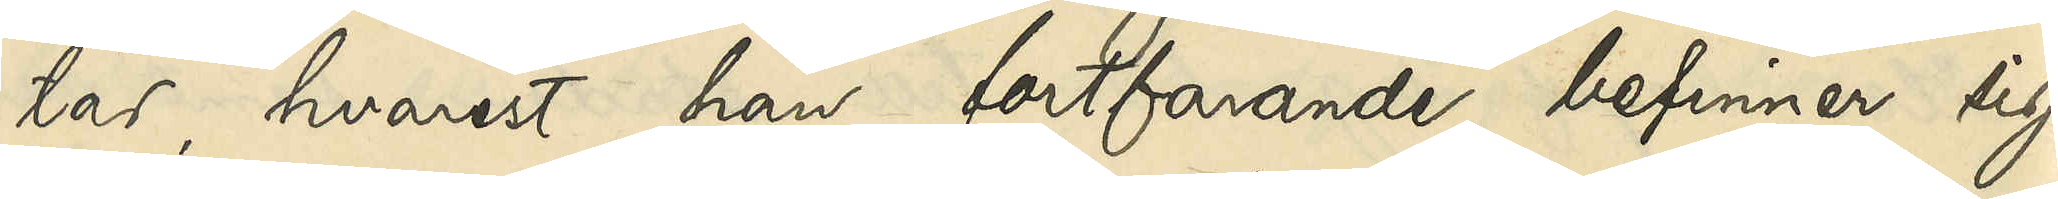tar, hvarest han fortfarande befinner sig.
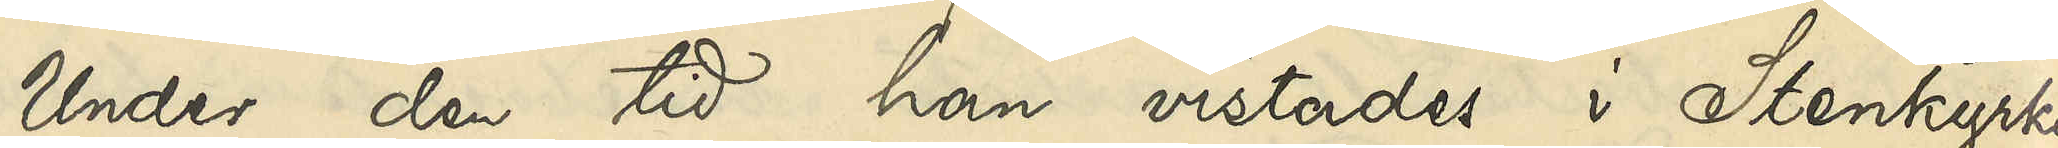Under den tid han vistades i Stenkyrka
